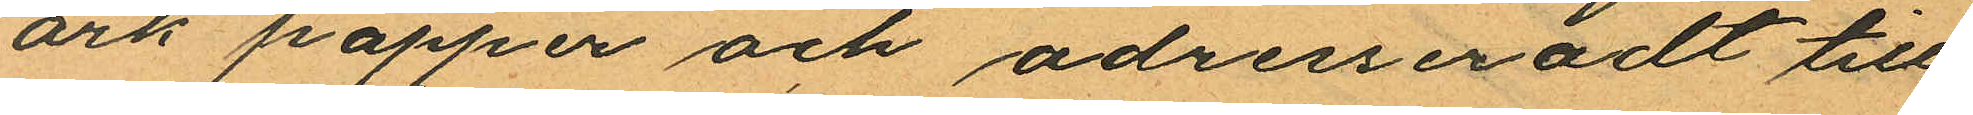ark papper och adresseradt till
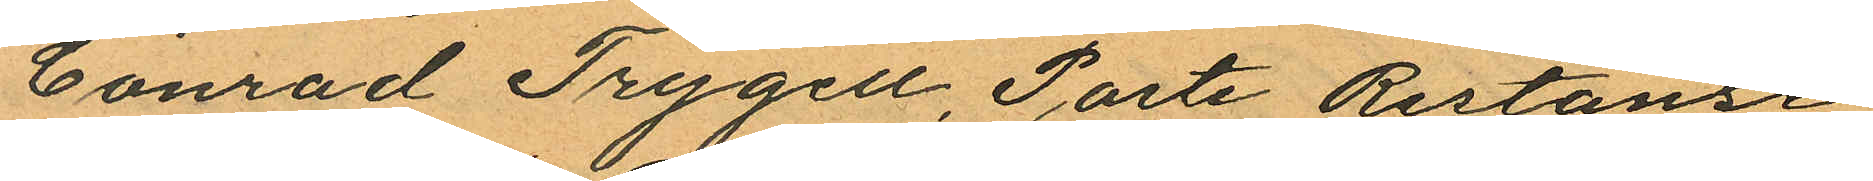"Conrad Trygell, Poste Restanse
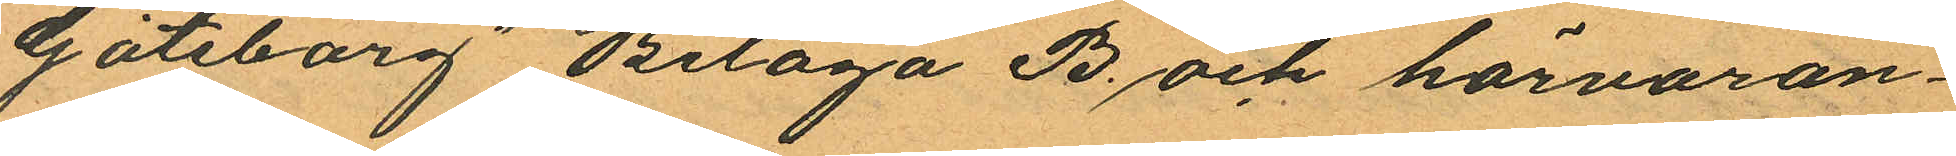Göteborg" Bilaga B och härvaran¬
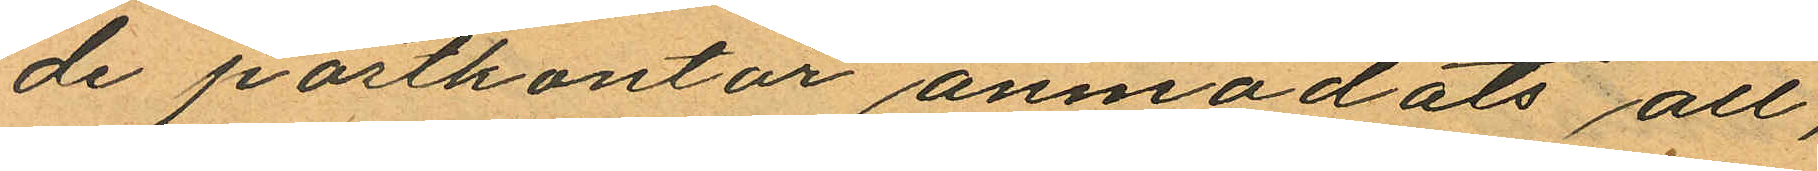de postkontor anmodats all,
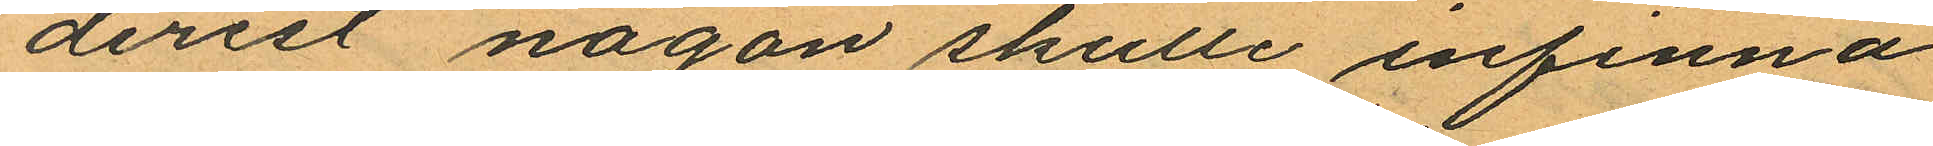derest någon skulle infinna
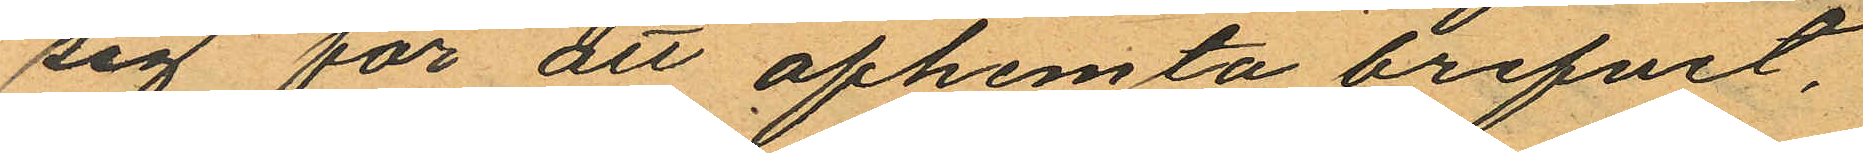sig för att afhemta brefvet,
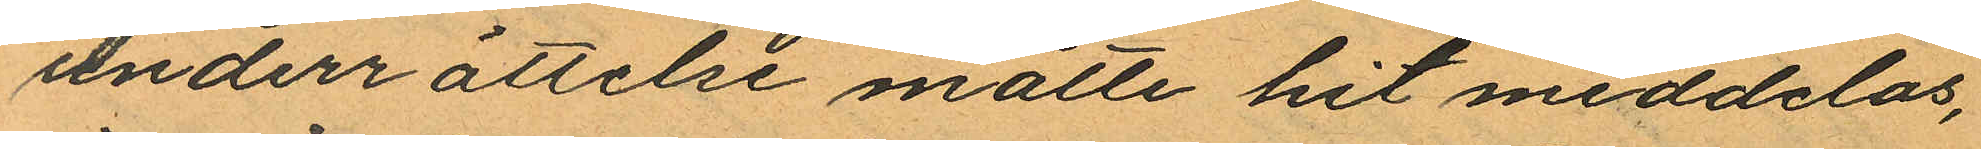underrättelse måtte hit meddelas,
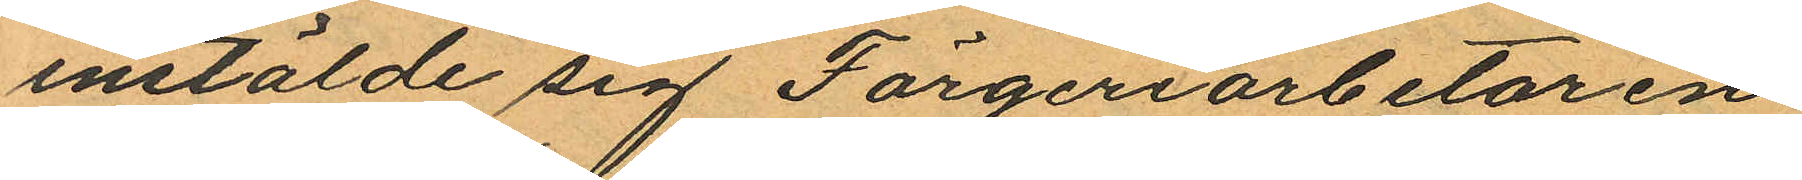instälde sig Färgeriarbetaren
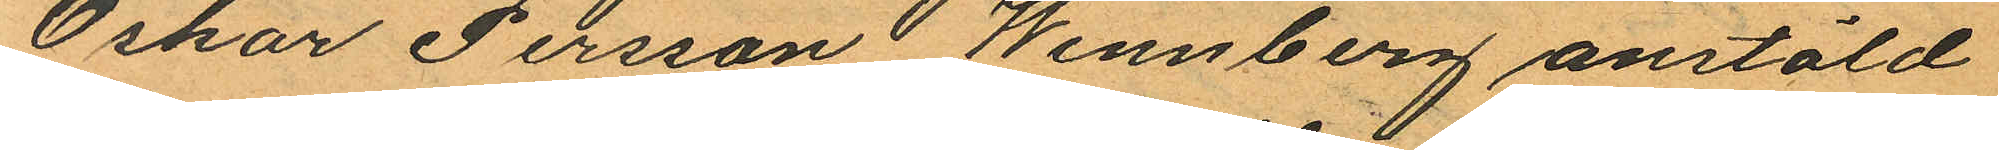Oskar Persson Wennberg anstäld
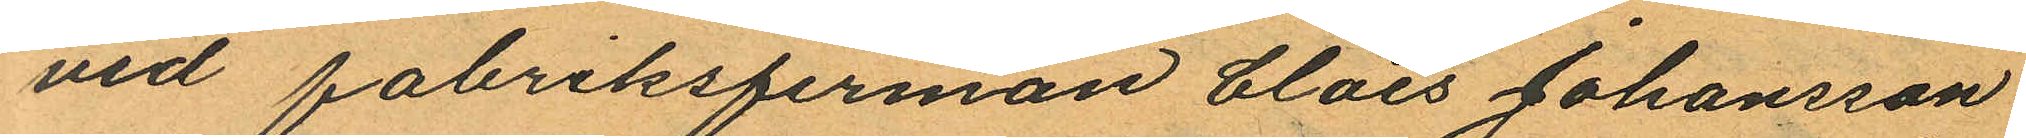vid fabriksfirman Claes Johansson
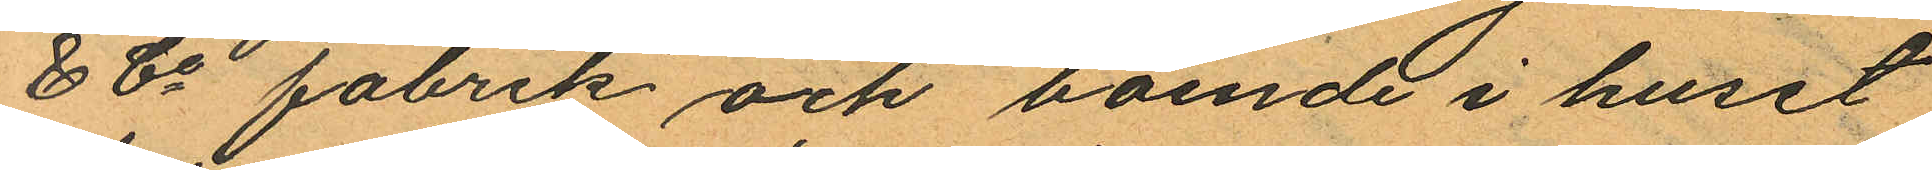& Co fabrik och boende i huset
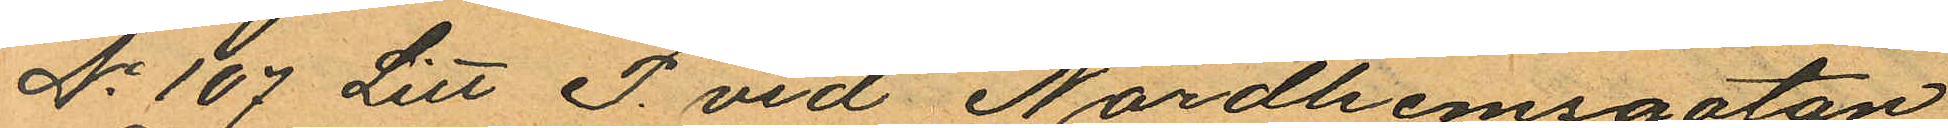No 107 Litt P. vid Nordhemsgatan
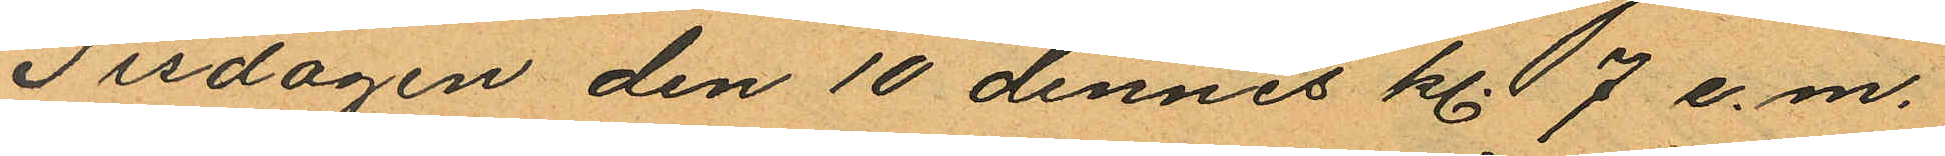Tisdagen den 10 dennes kl. 7 e.m.
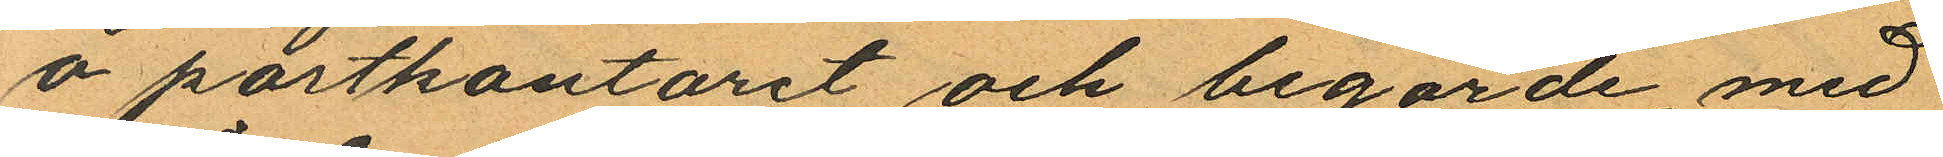å postkontoret och begärde, med
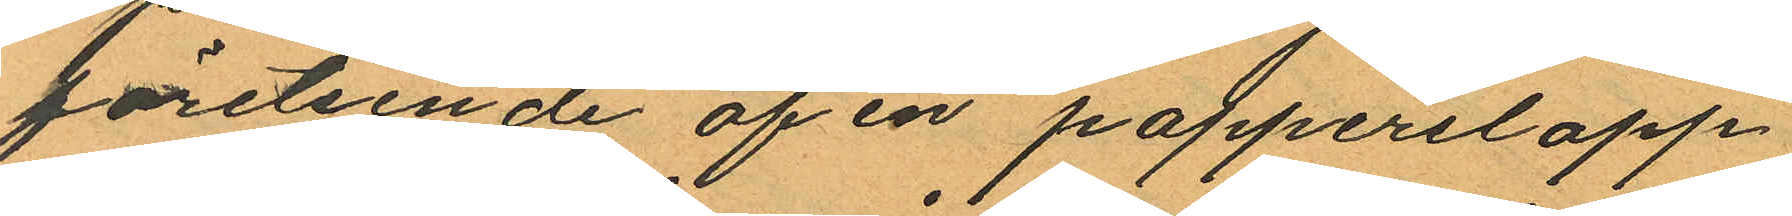företeende af en papperslapp
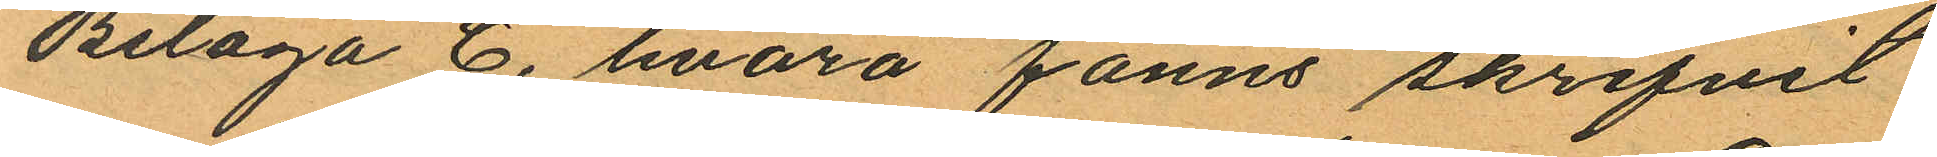Bilaga C, hvarå fanns skrifvit
